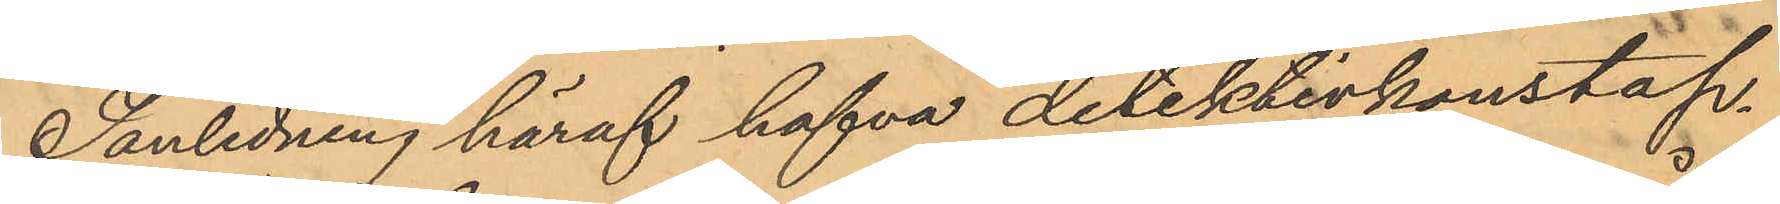I anledning häraf hafva detektivkonstap¬
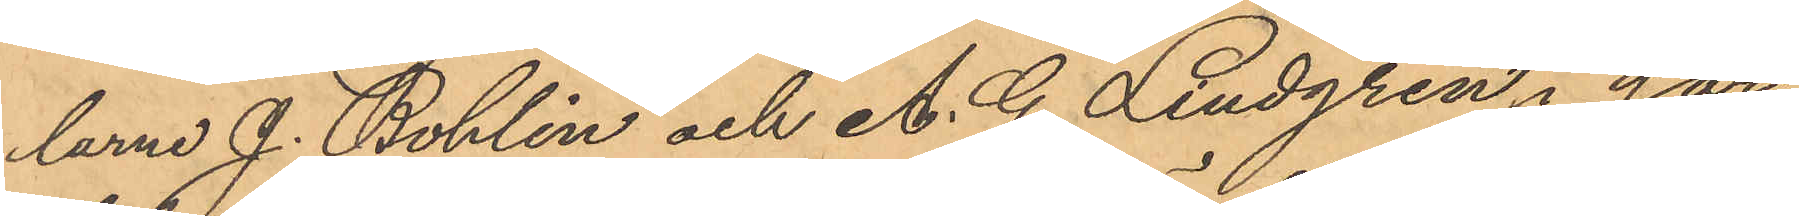larne J. Bohlin och A. G. Lindgren i går
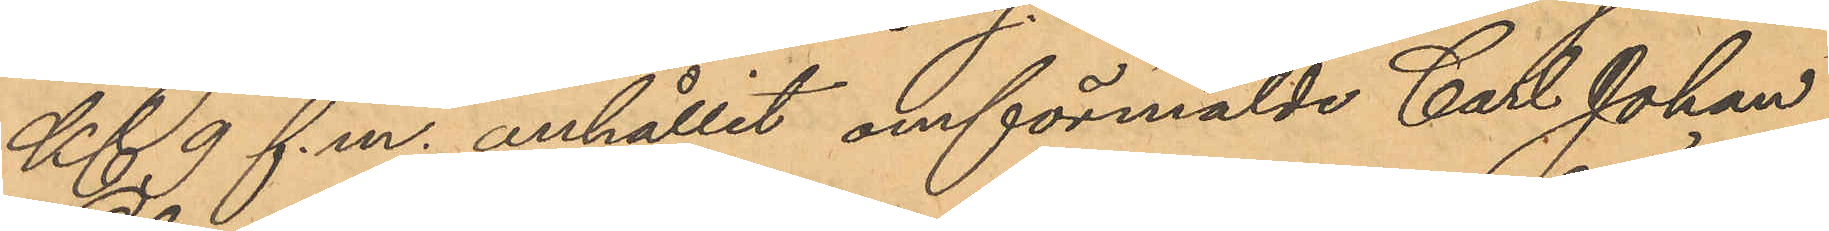Kl. 9 f.m. anhållit omförmälde Carl Johan
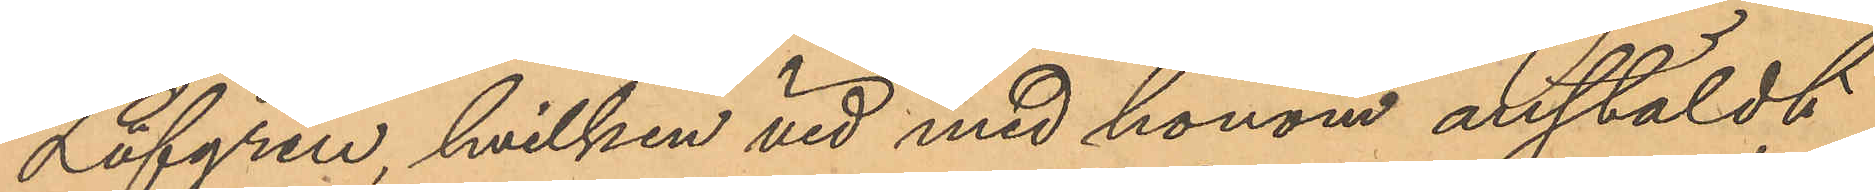Löfgren, hvilken vid med honom anstäldt
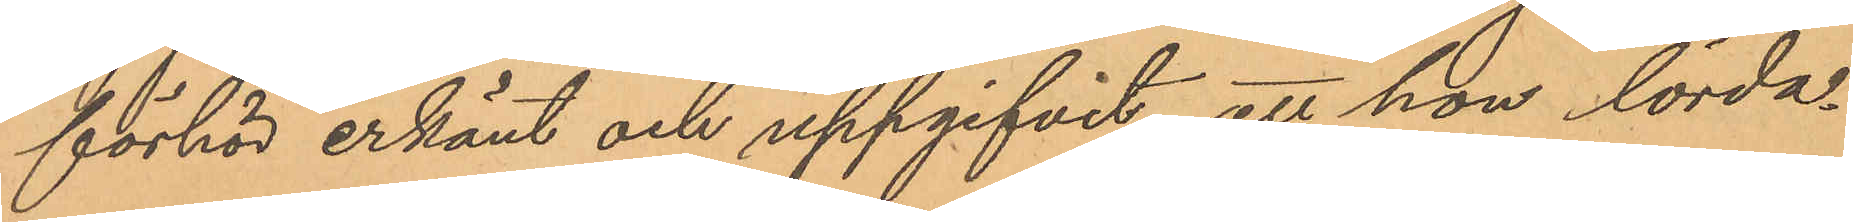förhör erkänt och uppgifvit, att han lörda¬
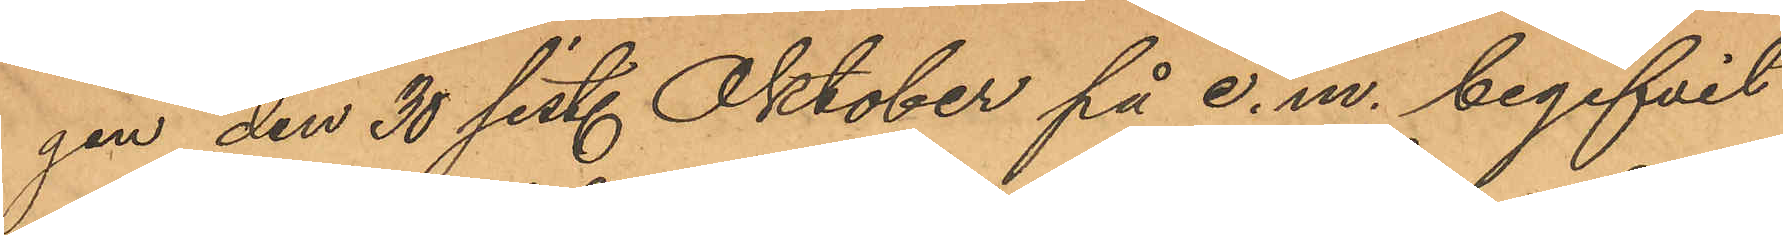gen den 30 sist. Oktober på e. m. begifvit
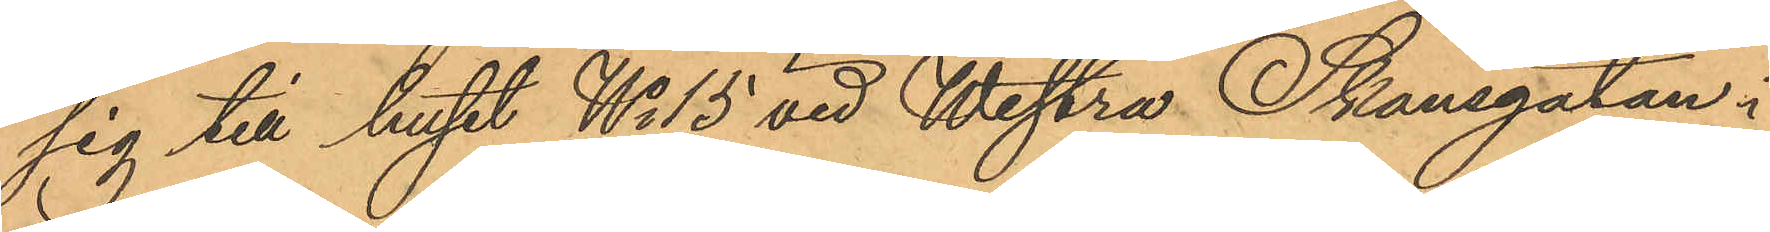sig till huset No 15 vid Westra Skansgatan, i
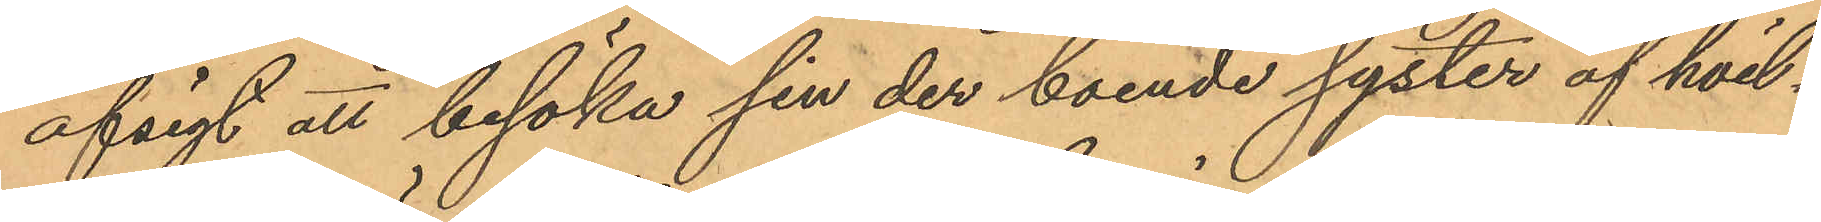afsigt att besöka sin der boende syster af hvil¬
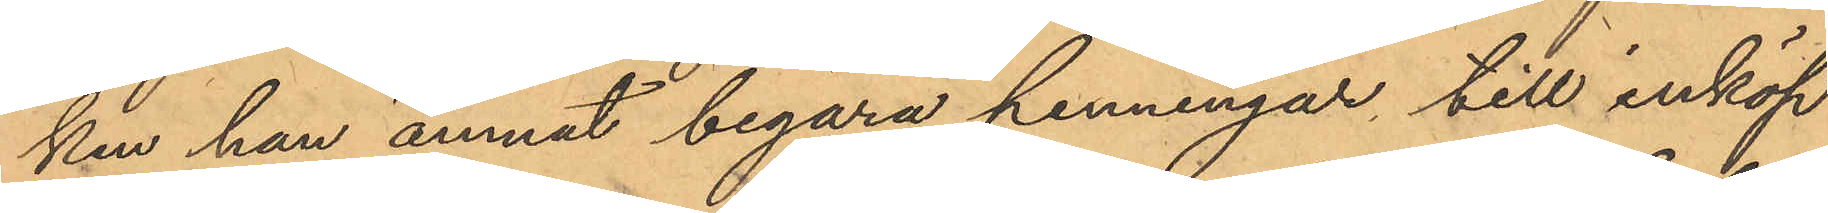ken han ämnat begära penningar till inköp
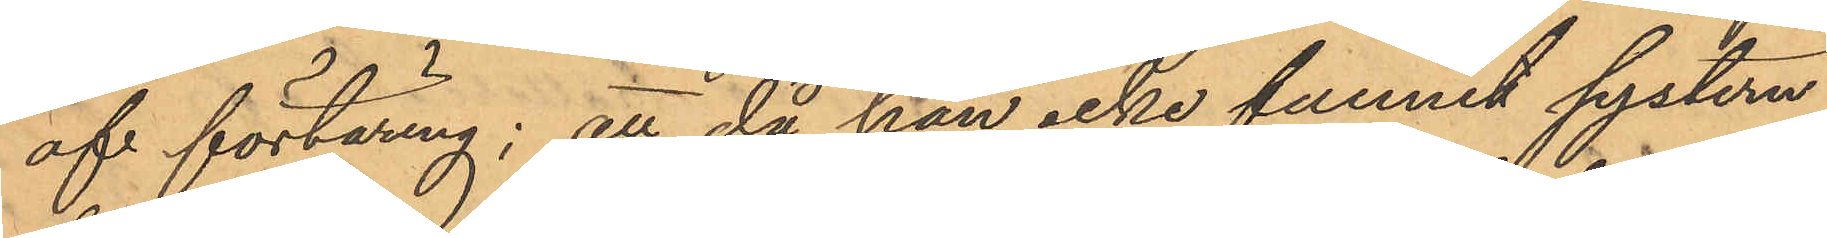af förtäring; att då han icke funnit systern
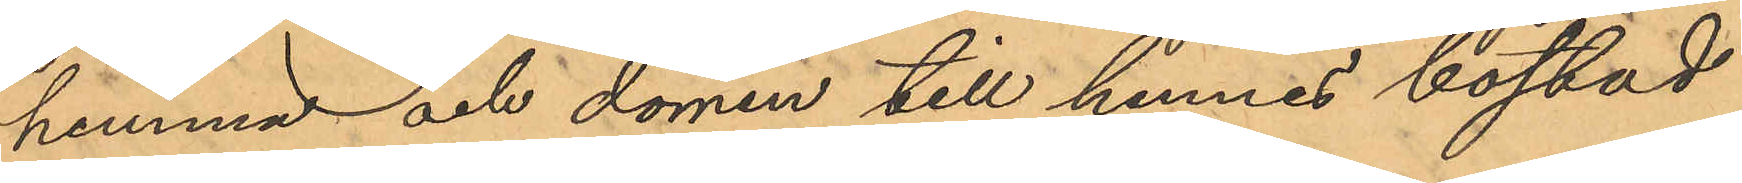hemma och dörren till hennes bostad
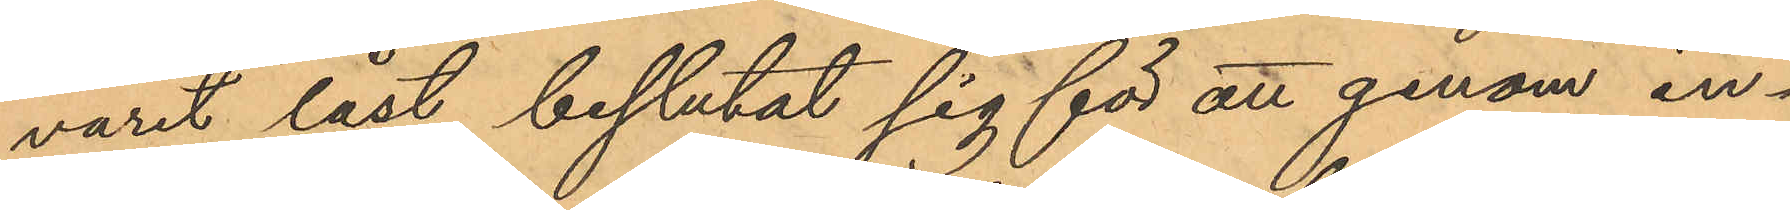varit låst, beslutat sig för att genom in¬
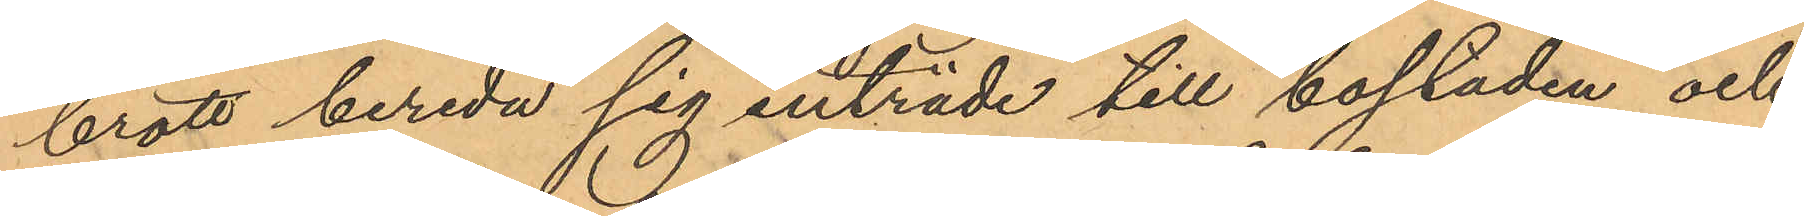brott bereda sig inträde till bostaden och
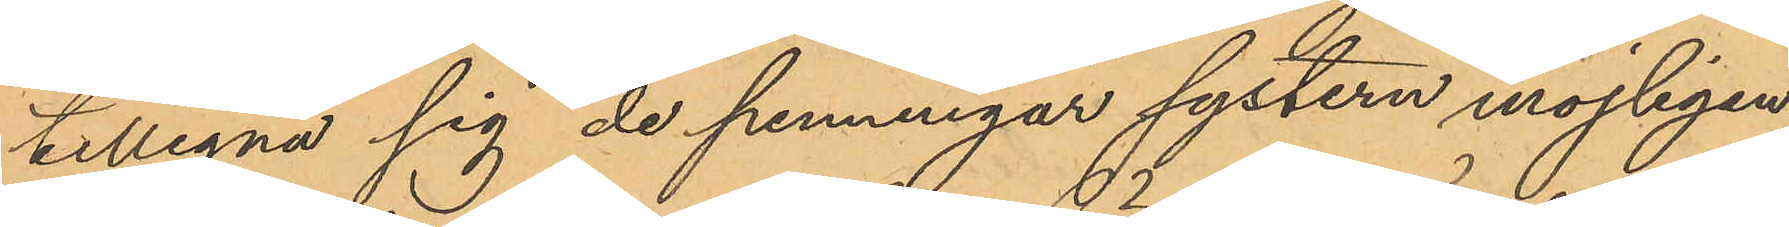tillegna sig de penningar systern möjligen
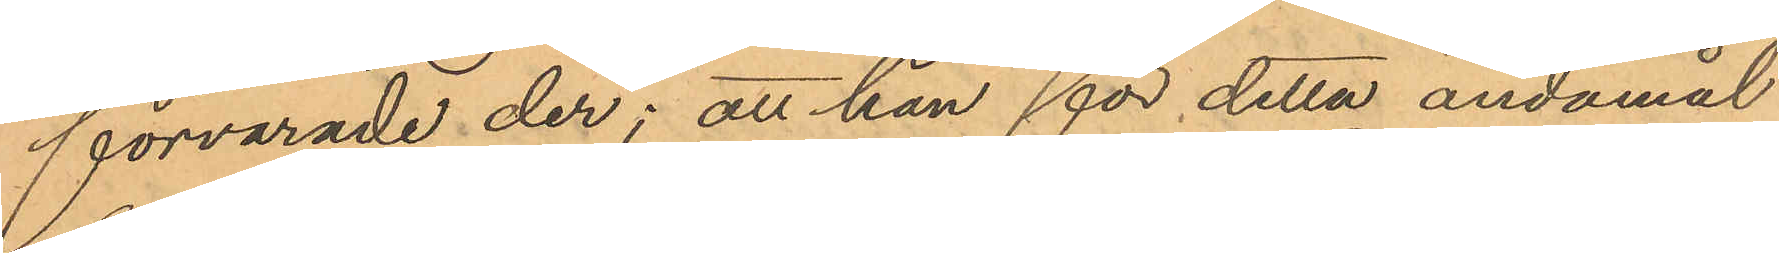förvarade der; att han för detta ändamål
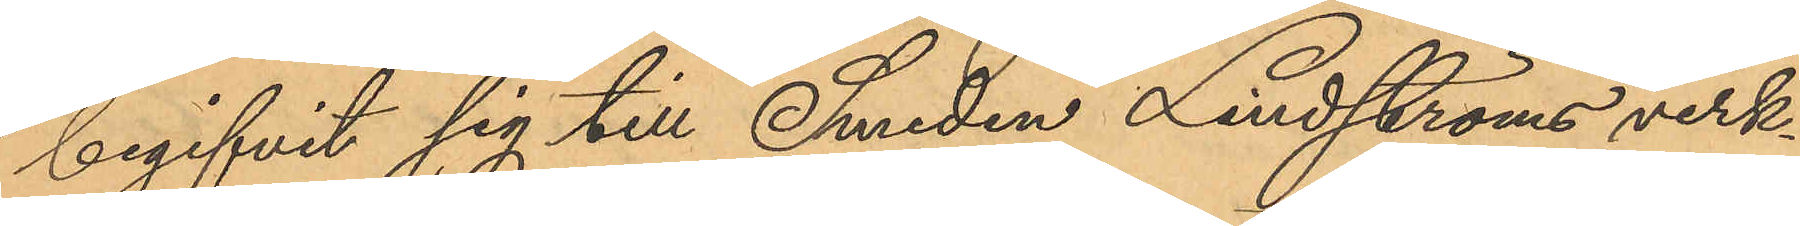begifvit sig till Smeden Lindströms verk¬
